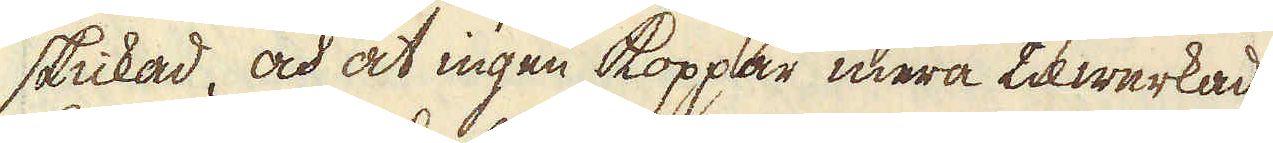skickad, och at ingen koppar mera tilwerkad
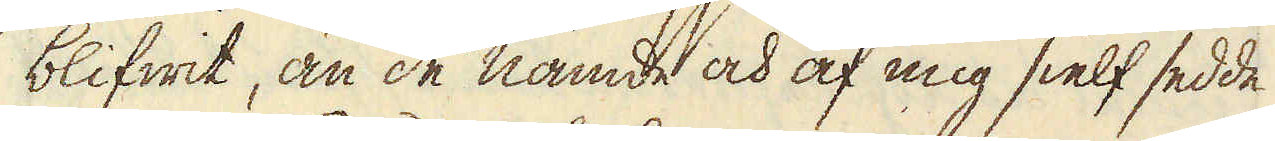blifwit, än de nämde och af mig sielf sedde
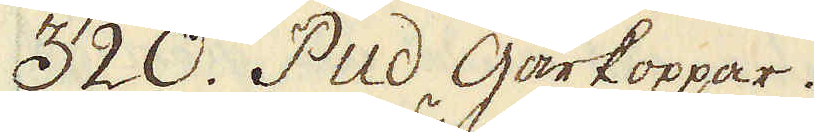320. Pud Gårkoppar.
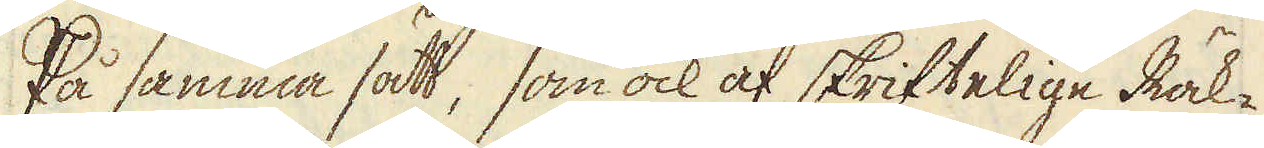På samma sätt, som ock af skriftelige Räk-
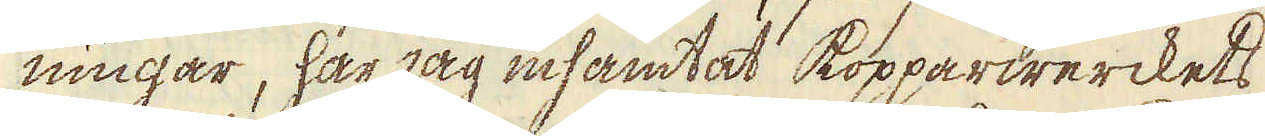ningar, har jag inhämtat kopparwerckets
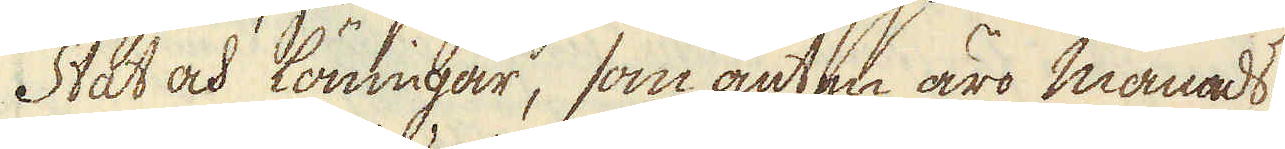Stat och löningar, som anten äro månads
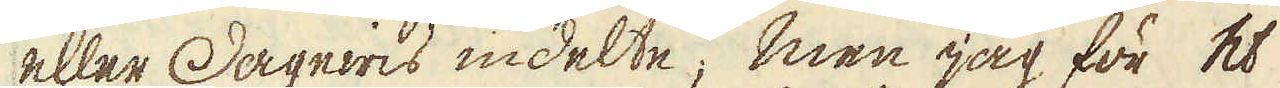eller Dagewis indelte; men jag för et
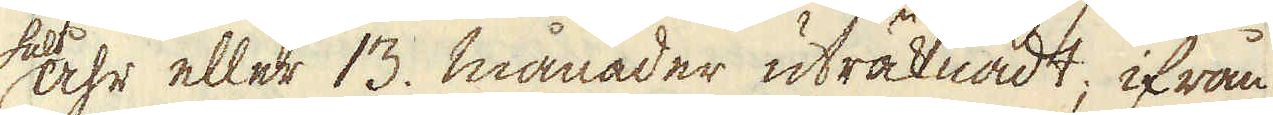helt åhr eller 13. månader uträknadt; ifrån
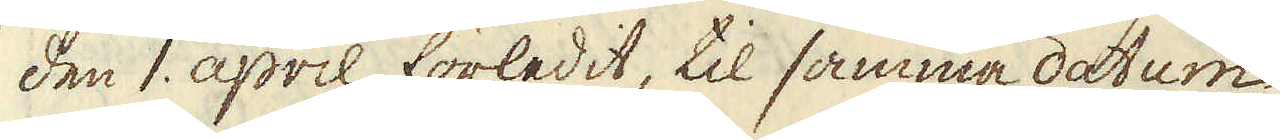den 1. april förledit, til samma datum
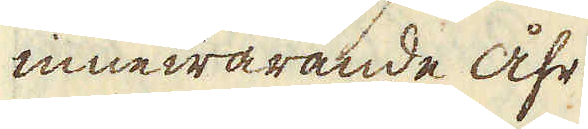innewarande åhr.
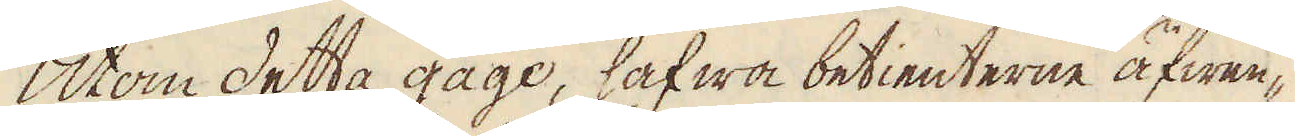Utom detta gage, hafwa betienterne äfwen-
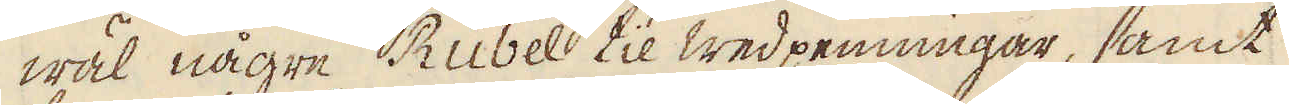wäl någre Rubel til wedpenningar, samt
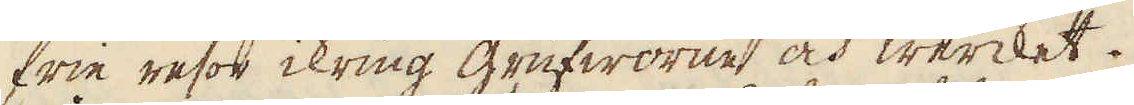frie resor ikring grufworne och wercket.
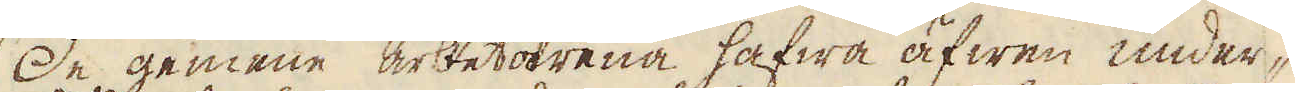De gemene arbetarena hafwa äfwen under-
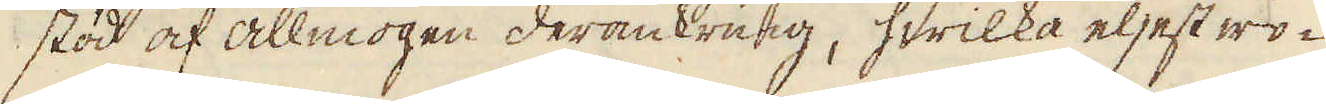stöd af allmogen deromkring, hwilka eljest wo-
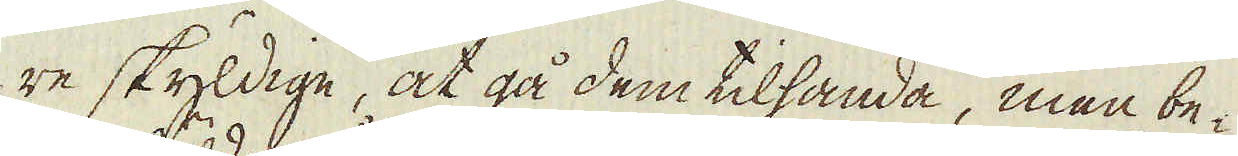re skyldige, at gå dem tilhanda, men be-
